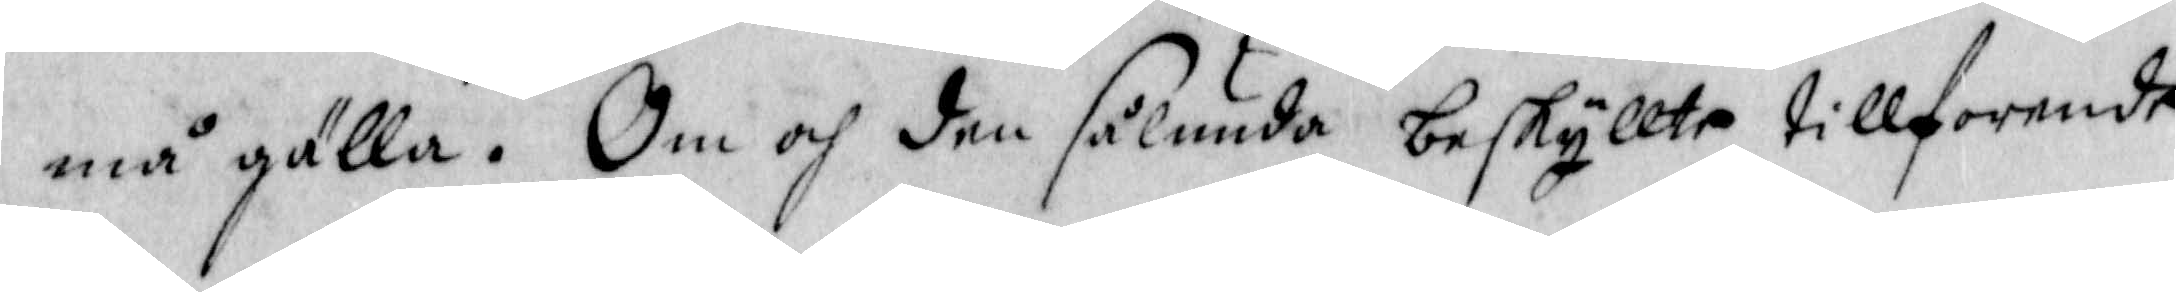må gälla. Om och den sålunda beskyllte tillforende
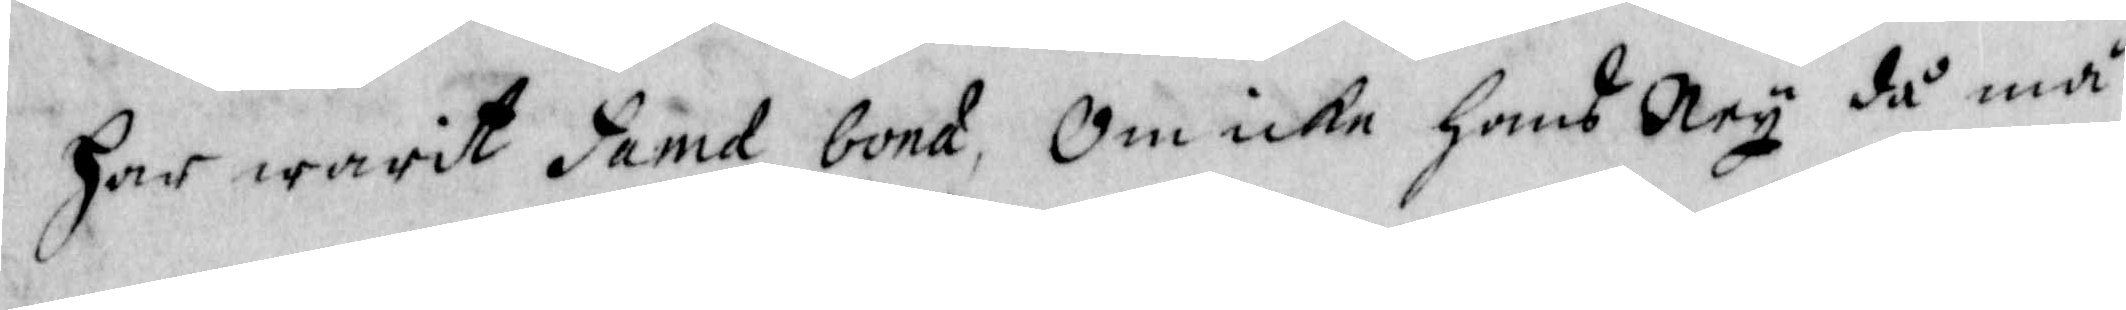har warit fama bona, Om icke hans Ney då må
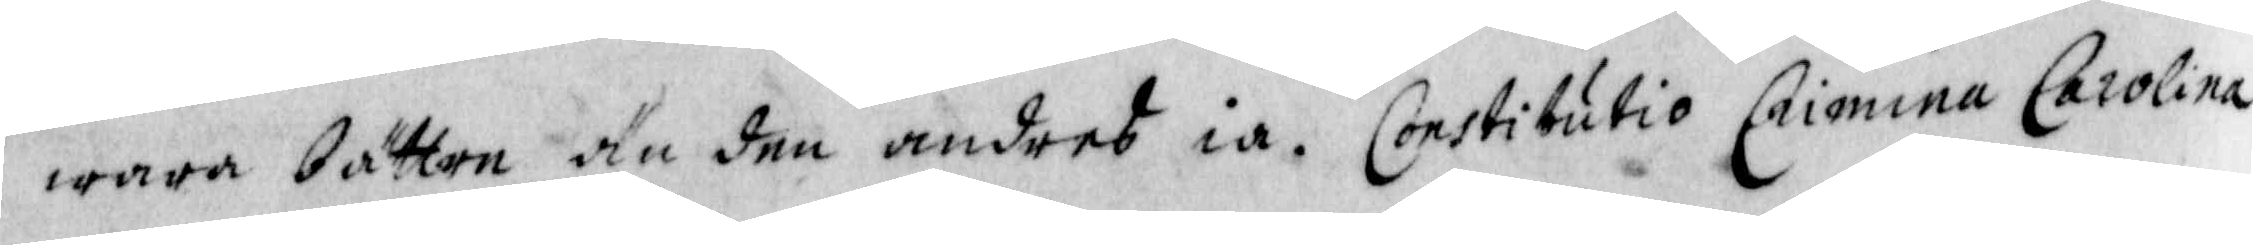wara bättre än den andres ia. Constitutio Crimina Carolina
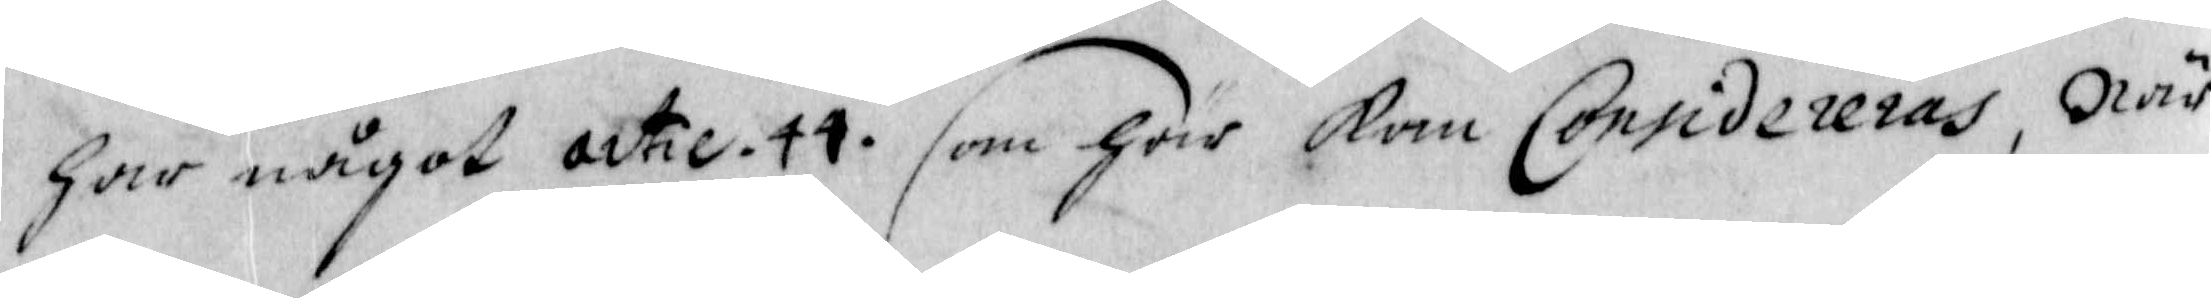har något actie. 44. som här kan Considereras, När
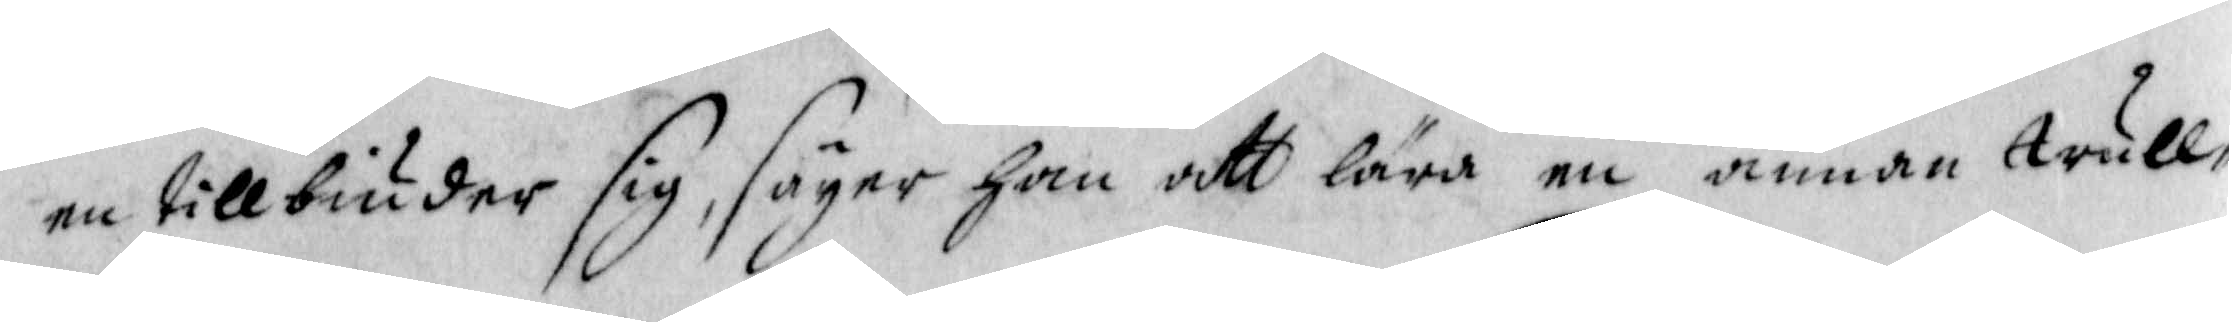en tillbiuder sig, säyer han att lära en annan trull¬
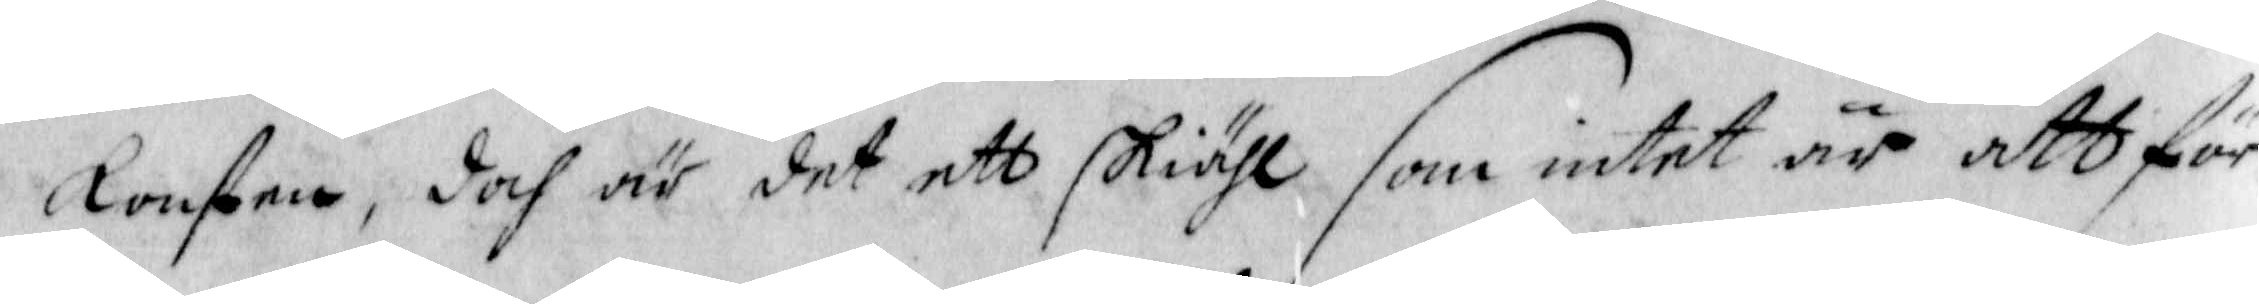konsten, doch är det ett skiähl som intet är att för¬
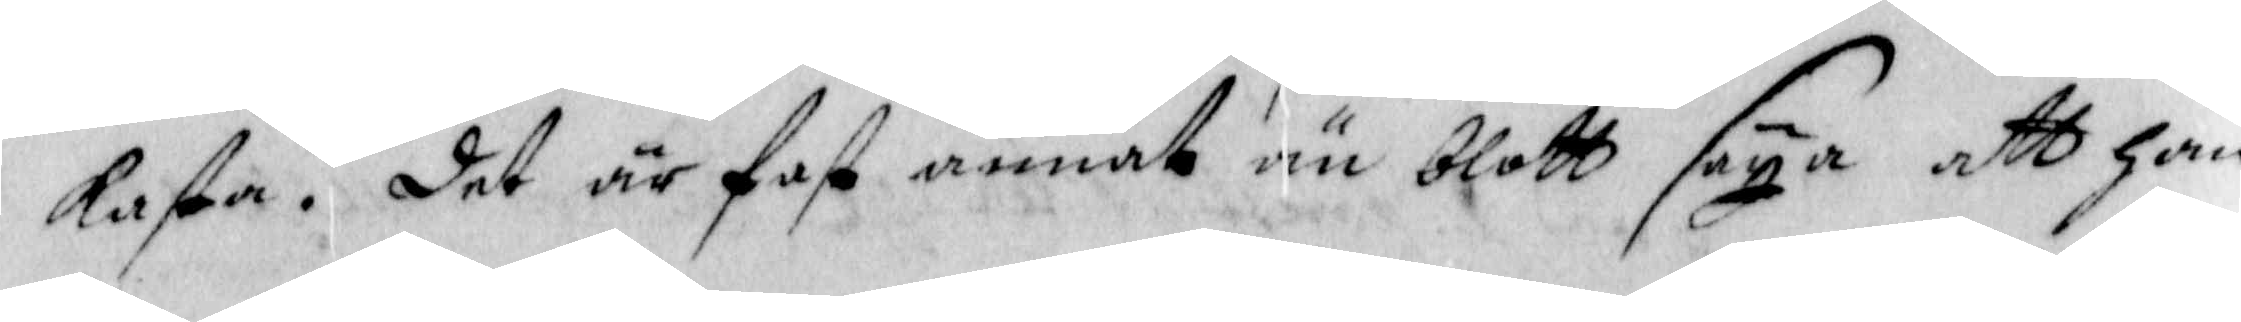kasta, Det är fast annat än blott säya, att han
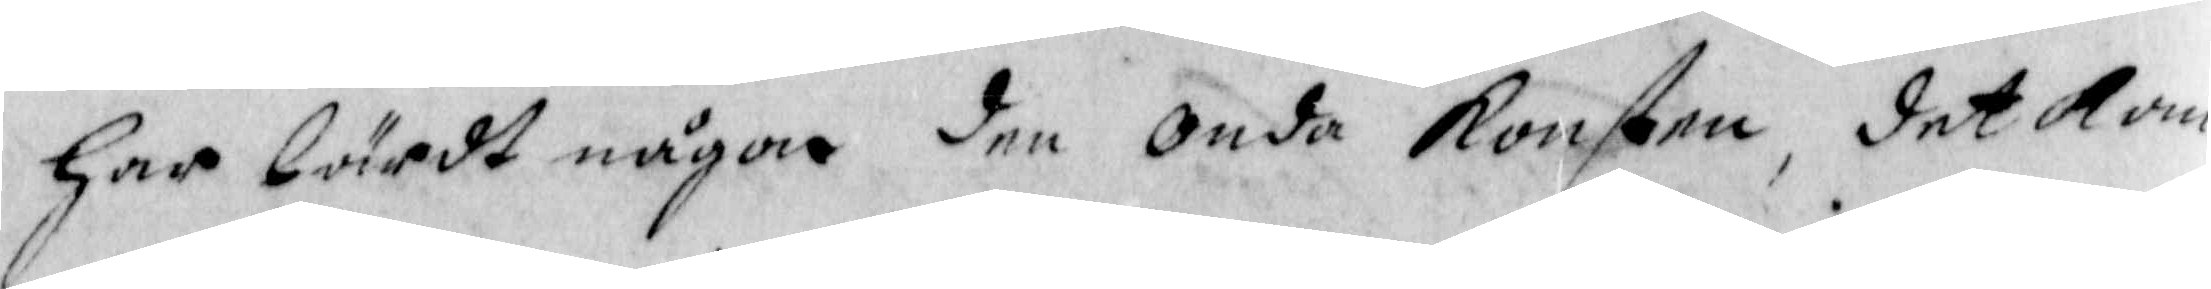har kärdt någon den Onda konsten, det kan
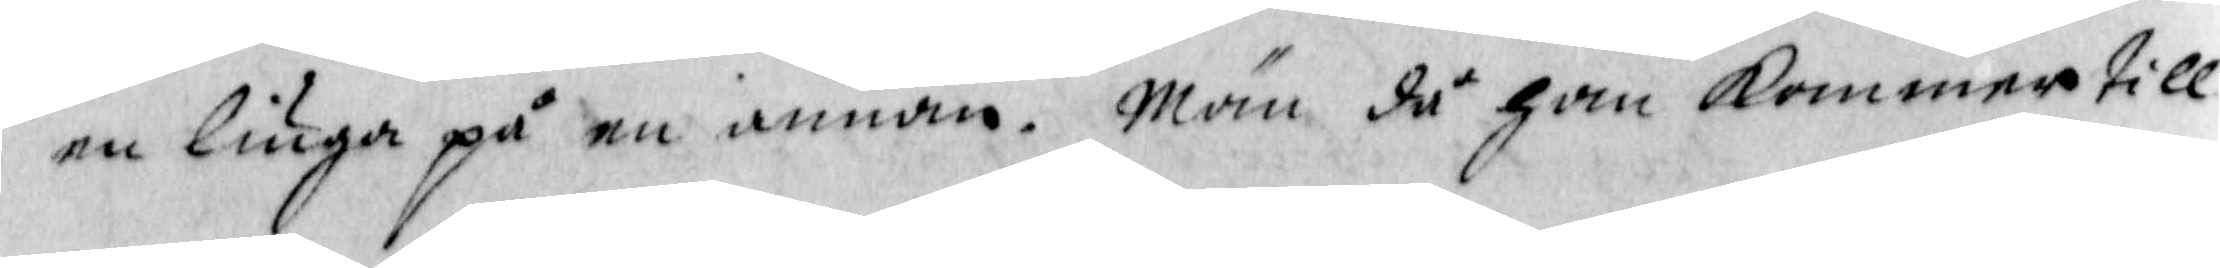nu liuga på en annan. Män då han kommer till
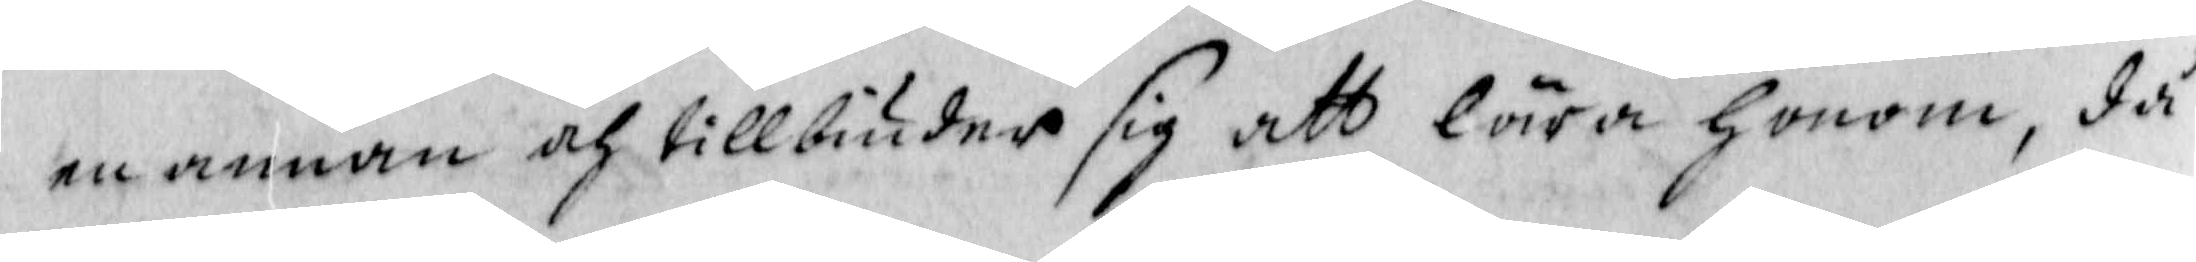en annan och tillbiuder sig att lära honom, då
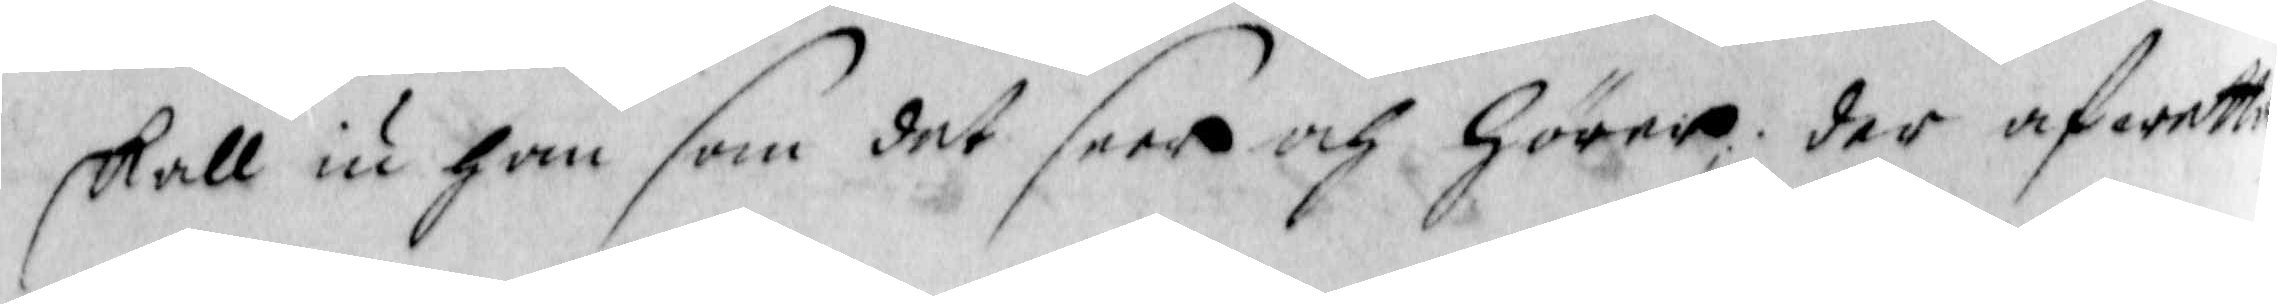skall iu han som det deer och hörer; der afwetta
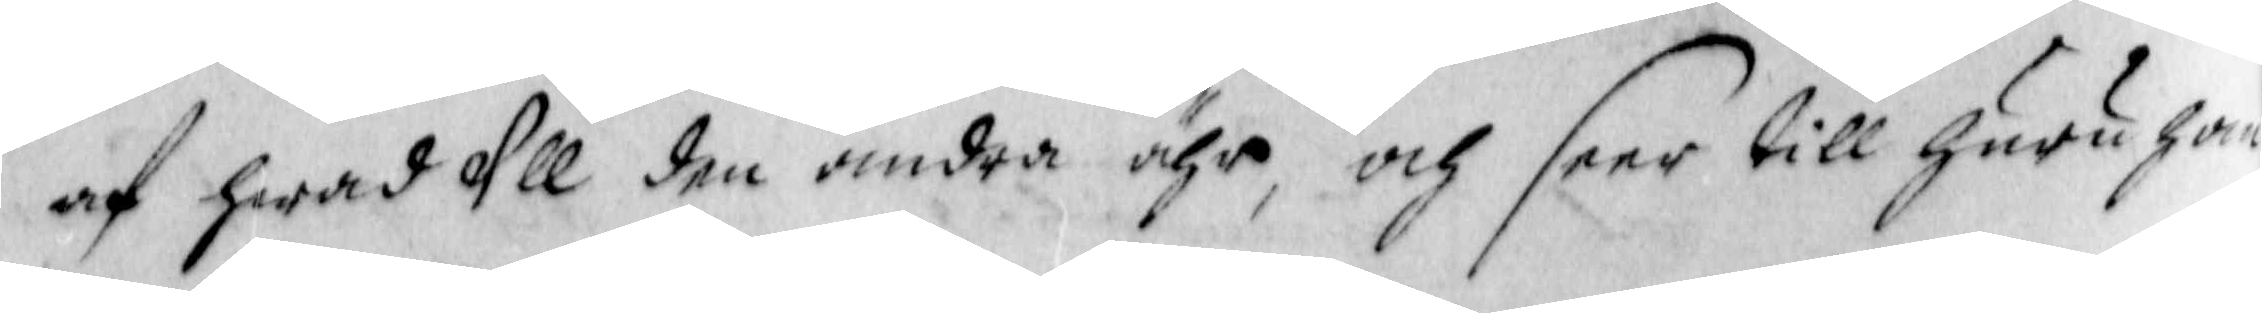af hwad Ull den andra ähr, och seer till huru han
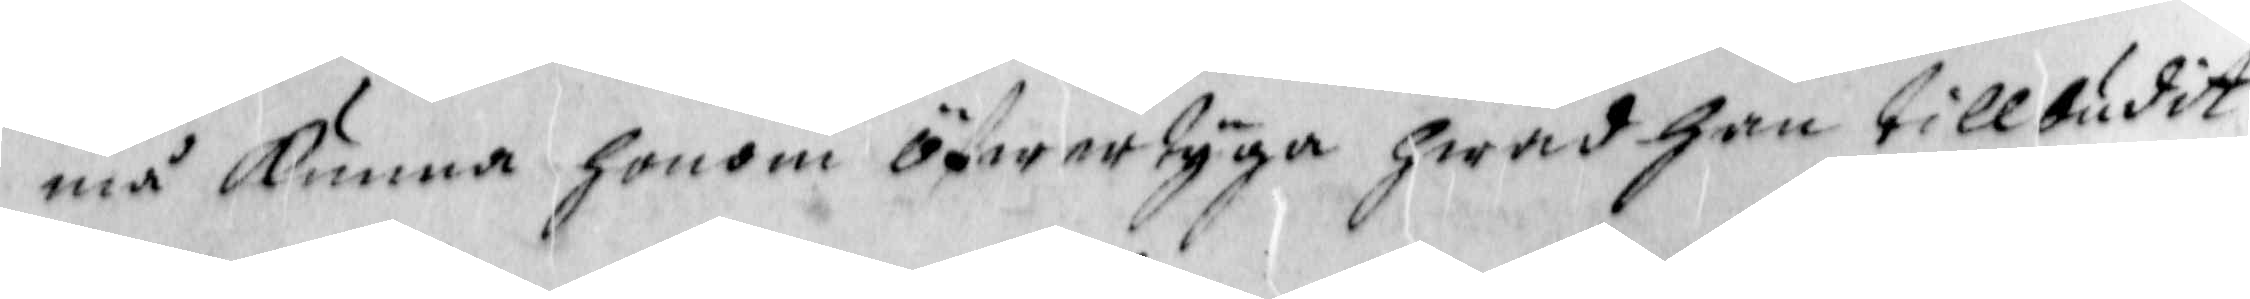må kunna honom öfwertyga hwad han tillbudit
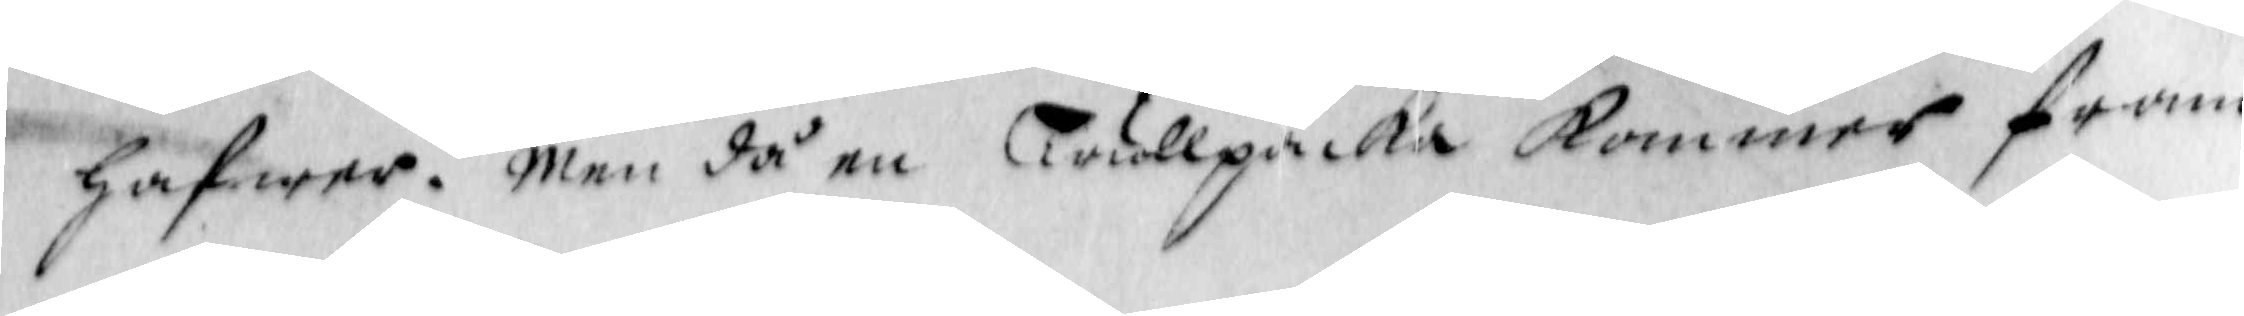hafwer. men då en Trullpacka kommer fram
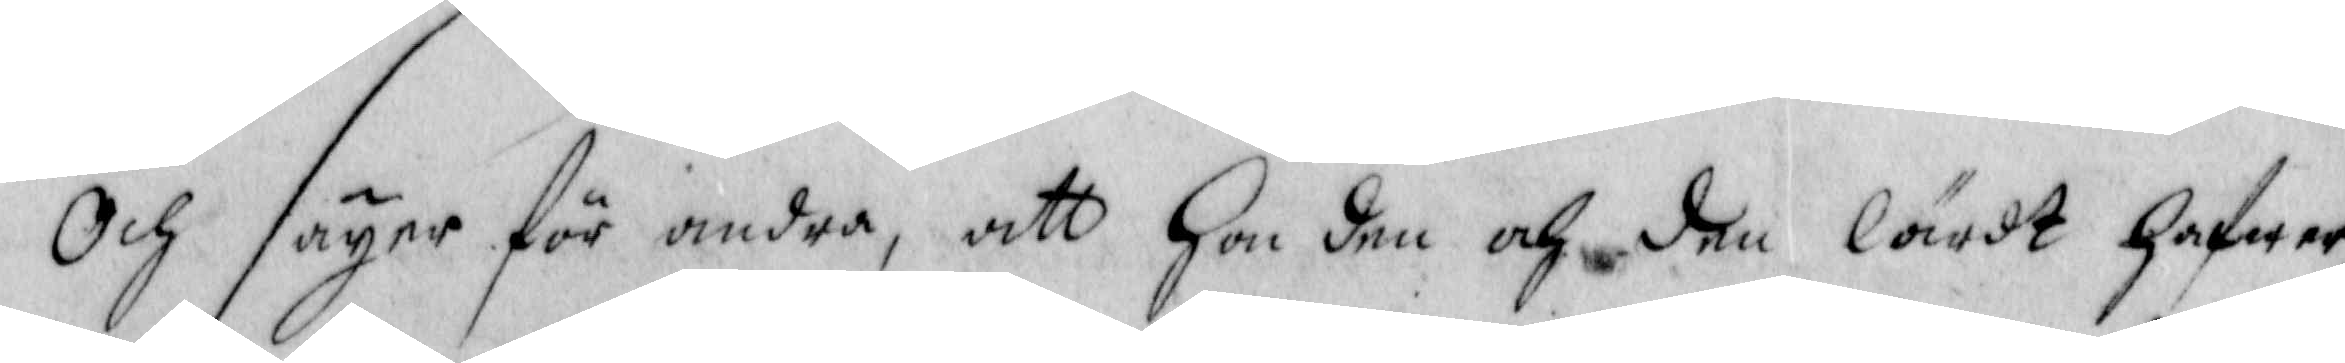och säyer för andra, att han den och den lärdt hafwer
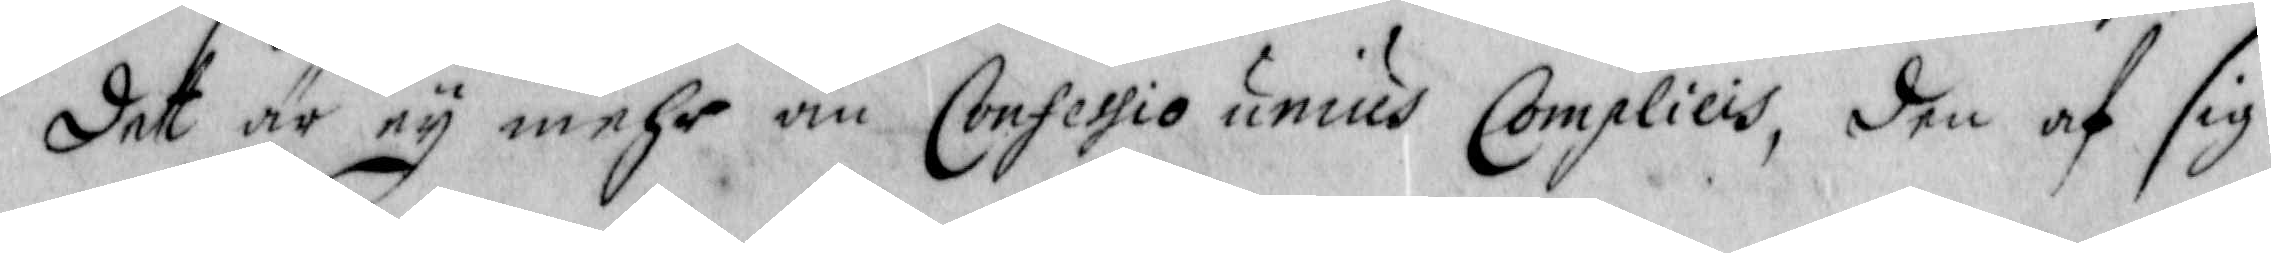det är ey mehr än Confessio unius Complices, den af sig
